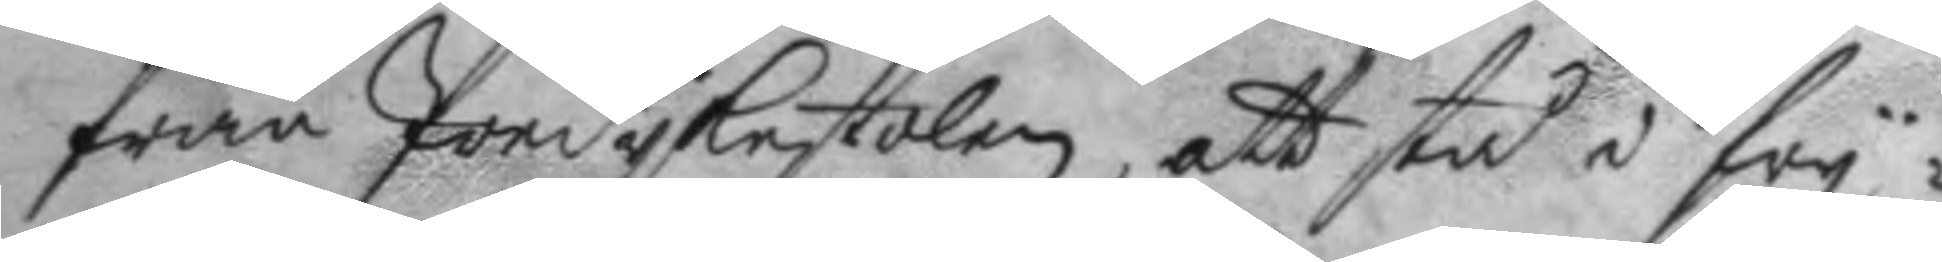från Predykestolen, att stå i fry¬
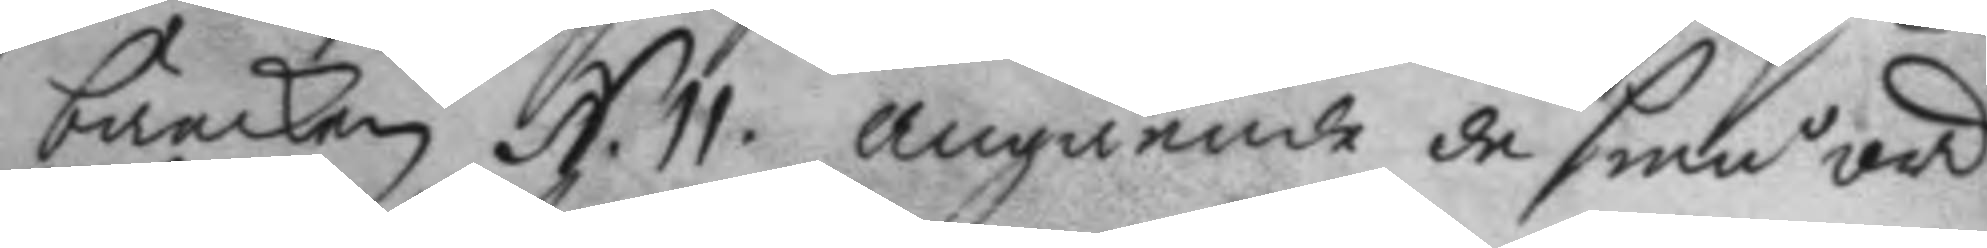bäncken N. 11. angående de små ord¬
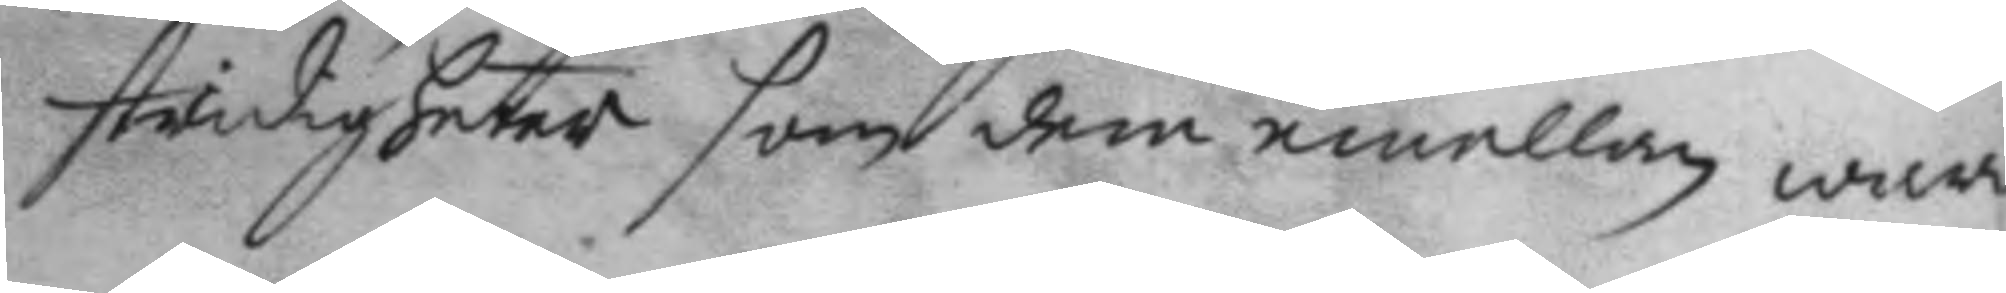stridigheter som dem emellan warit
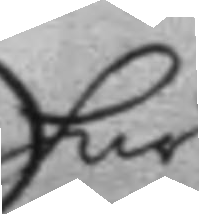här
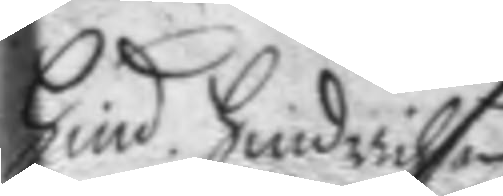Hind: Hindrichson
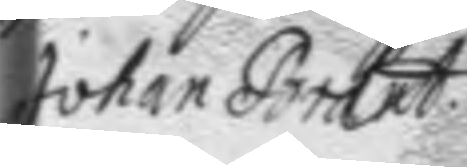Johan Brandt
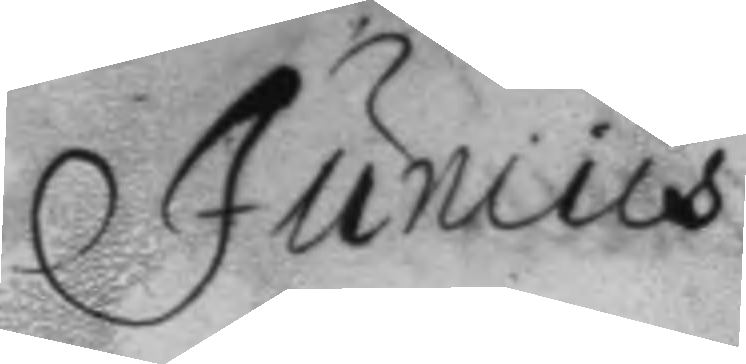Junius
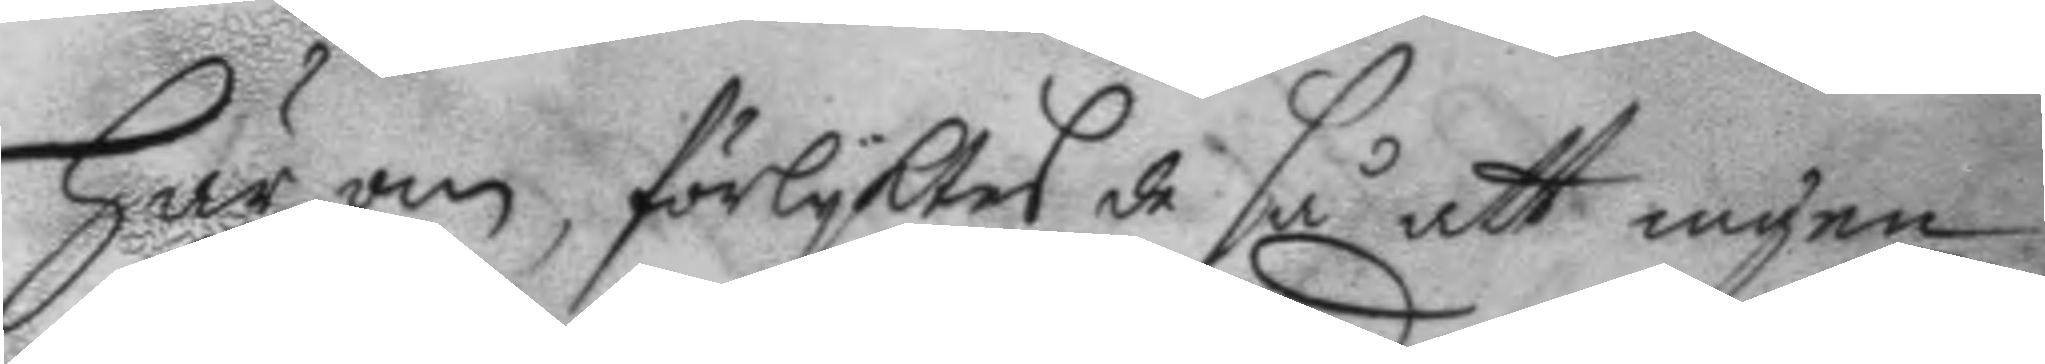här om, förlyktes de så att ingen
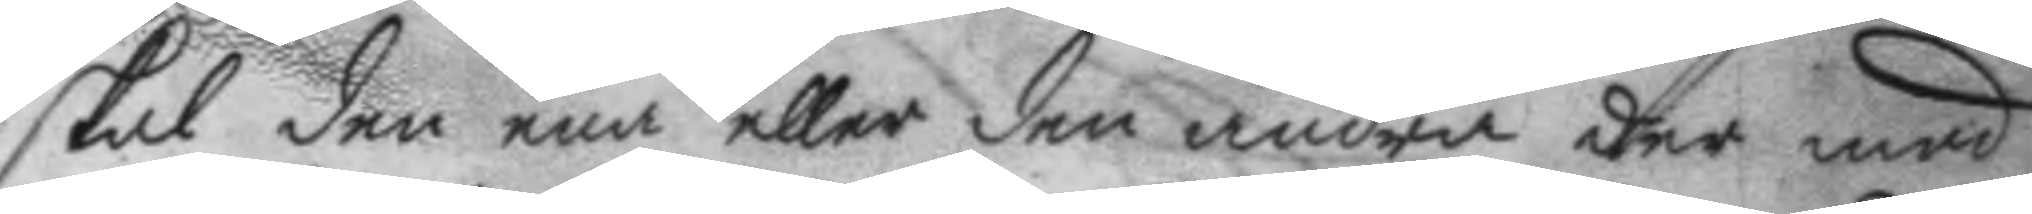skal den ena eller den andra der med
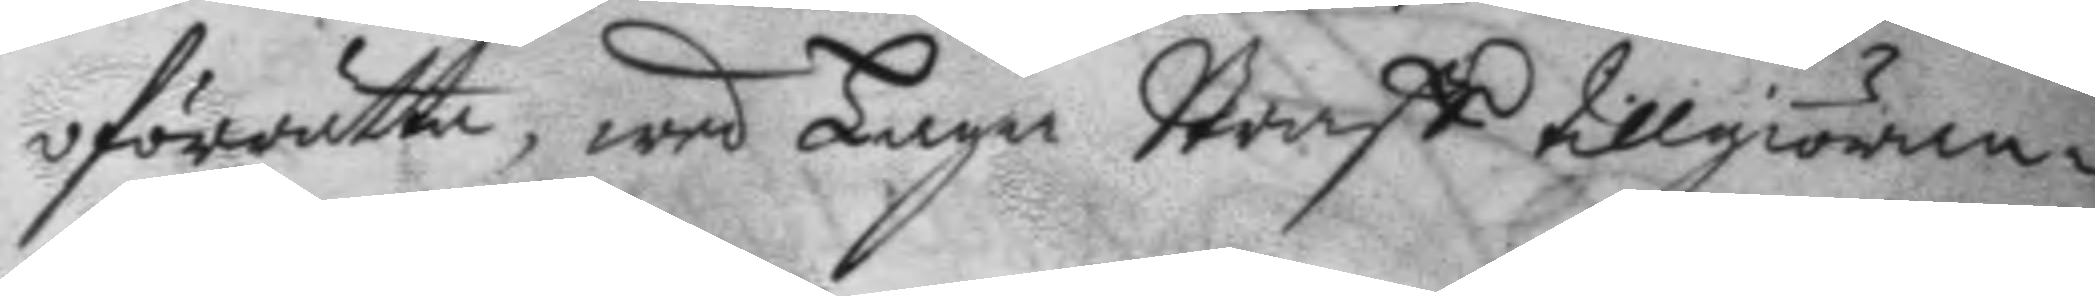oförrätta, wed Laga Straff tillgiöran¬
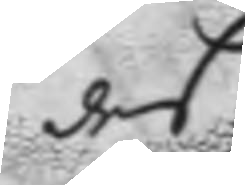des
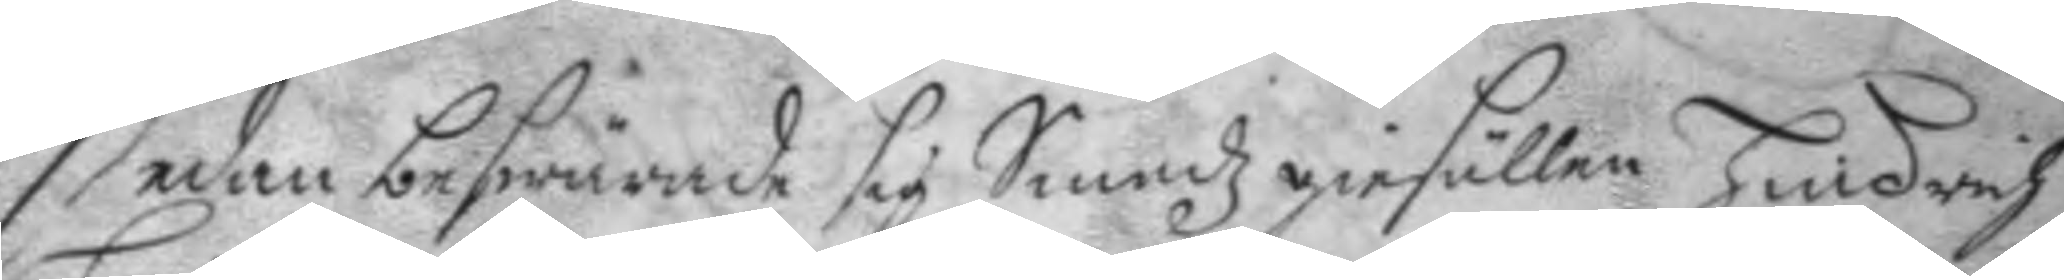Sedan beswärade sig Smedz giesällen Hindrich
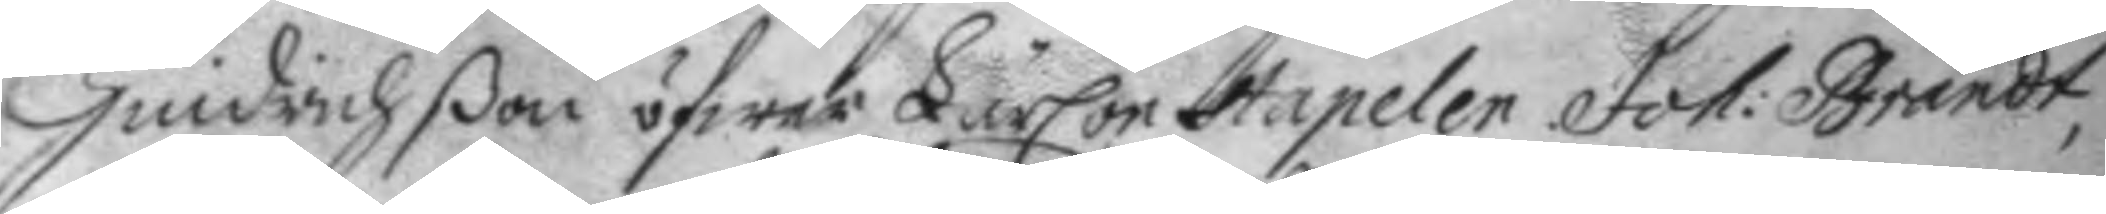Hindrichßon öfwer LärConstapelen Joh: Brandt,
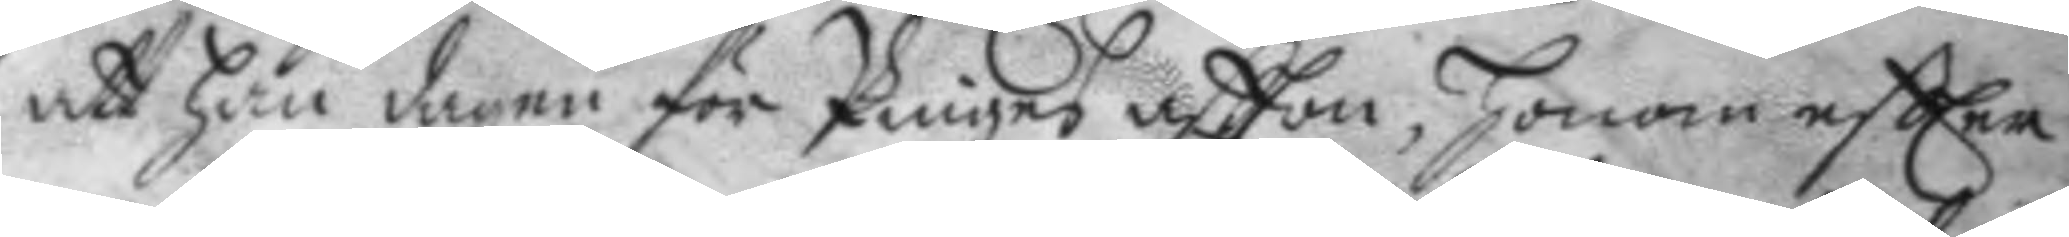att han dagen för Pinges aftton, honom eftter
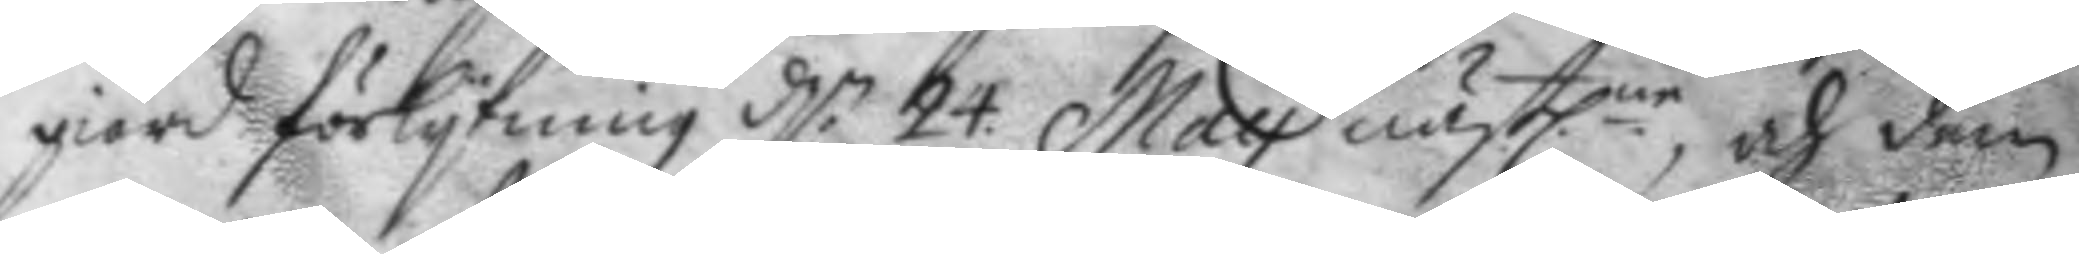giord förlykning d.n 24: May nästl.ne, och dem
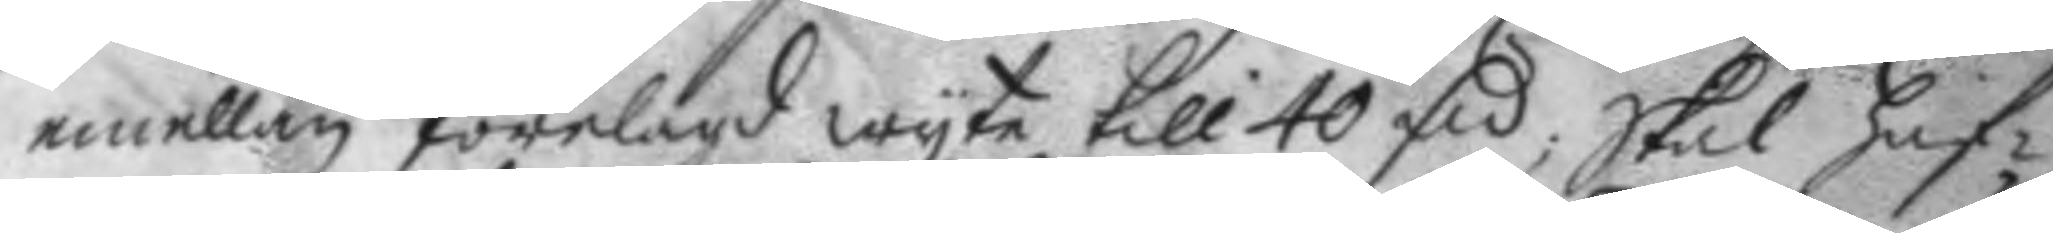emellan förelagd wyte till 40 Fm, skal haf¬
